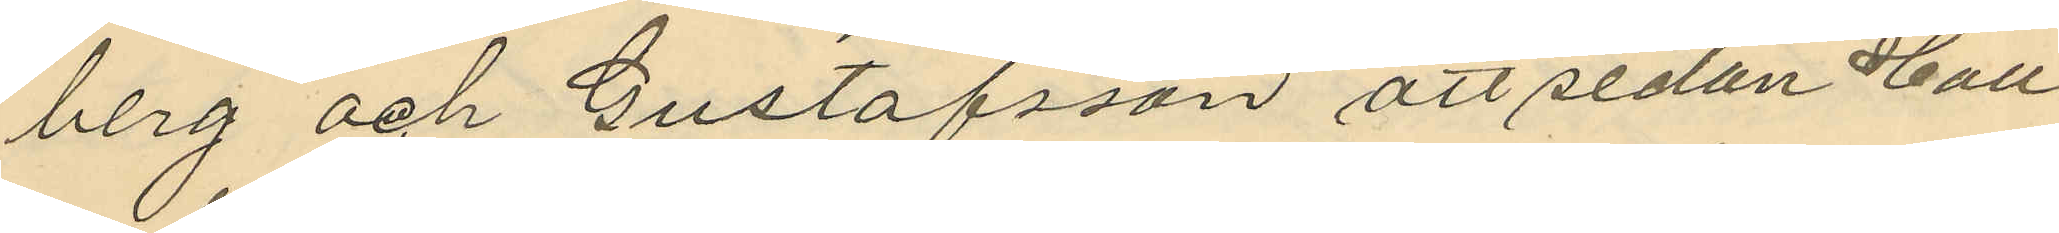berg och Gustafsson att sedan Hall
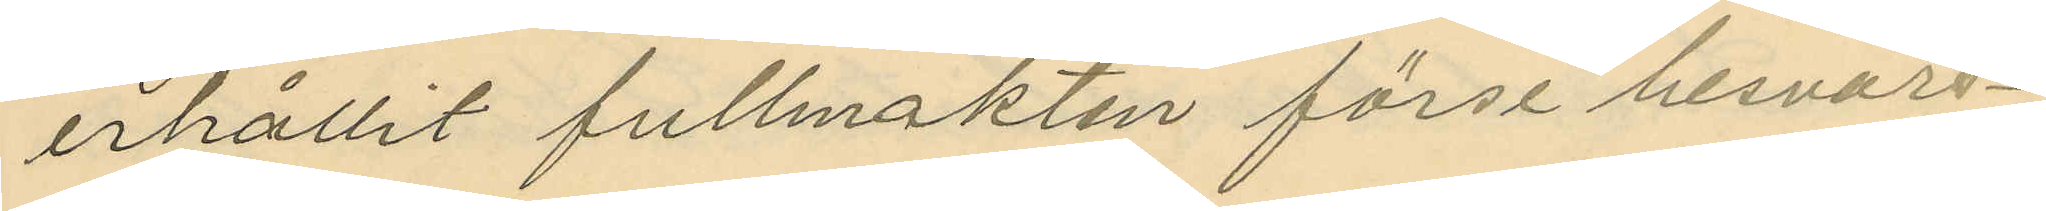erhållit fullmakten förse besvars¬
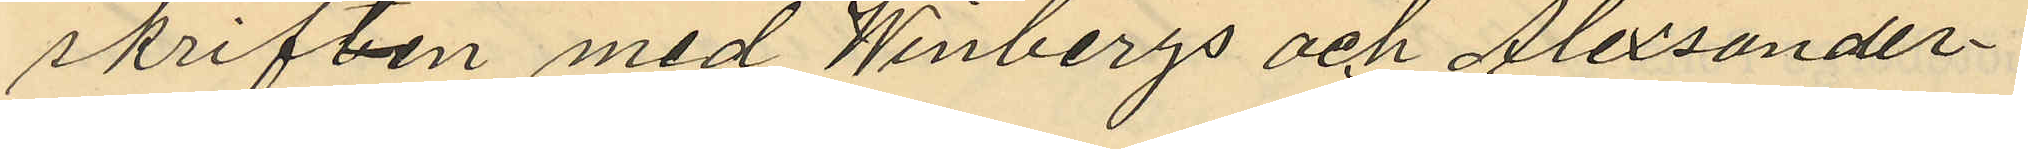skriften med Winbergs och Alexander¬
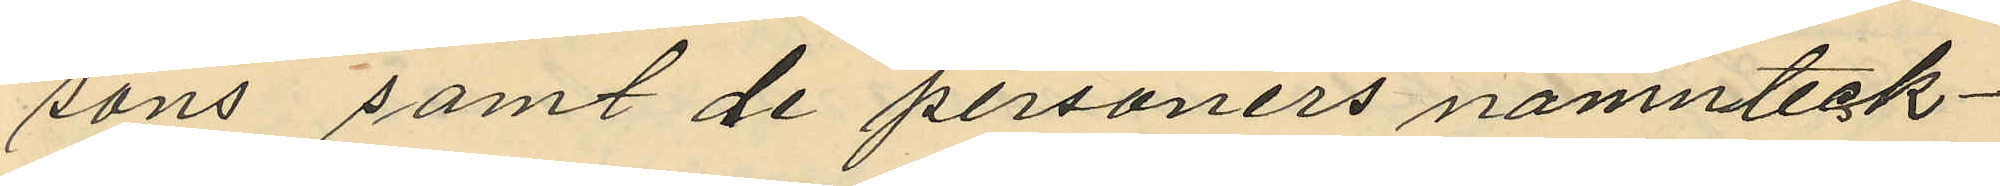sons samt de personers namnteck¬
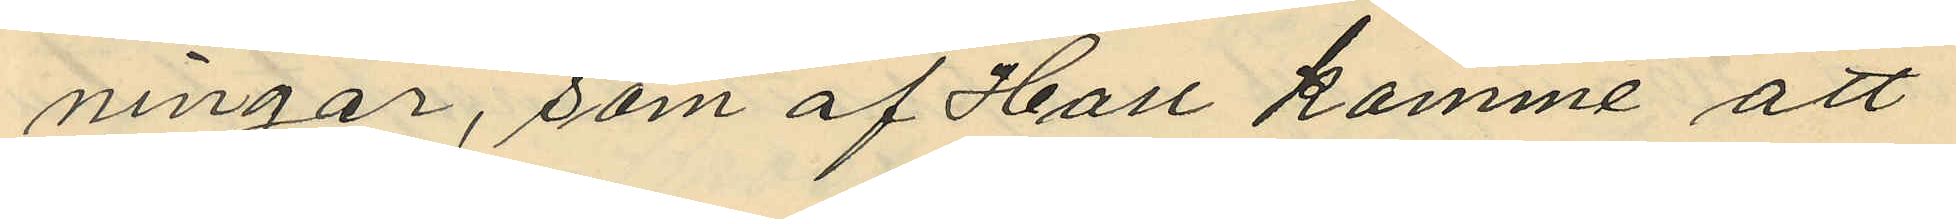ningar, som af Hall komme att
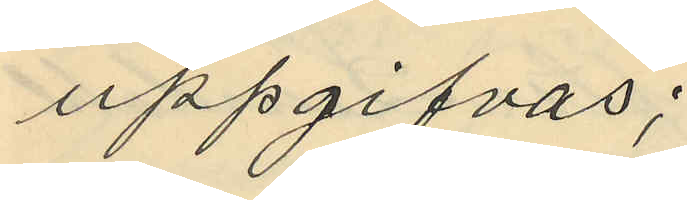uppgifvas;
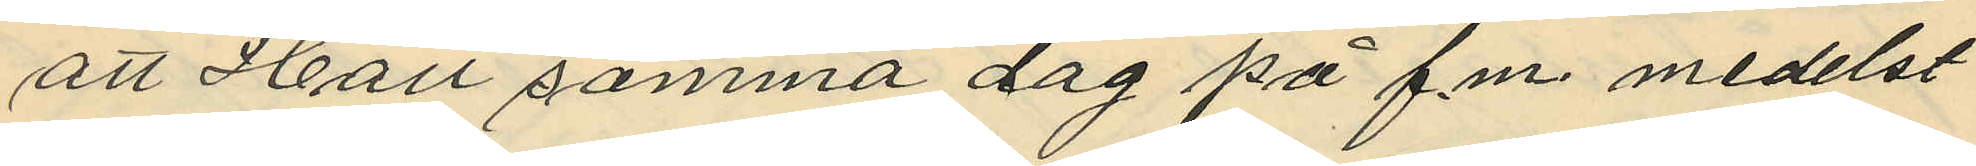att Hall samma dag på f.m. medelst
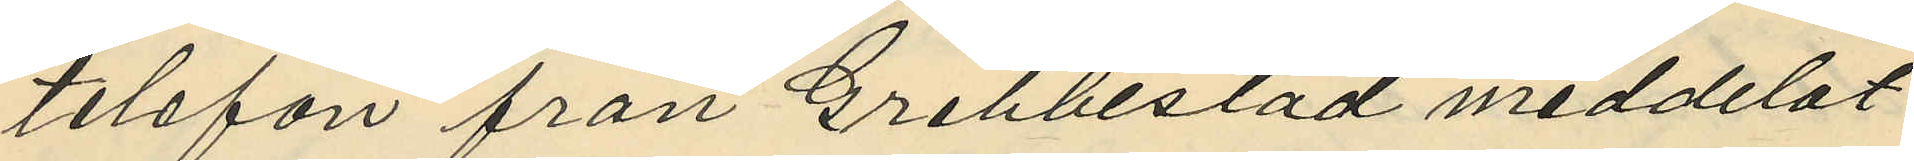telefon från Grebbestad meddelat
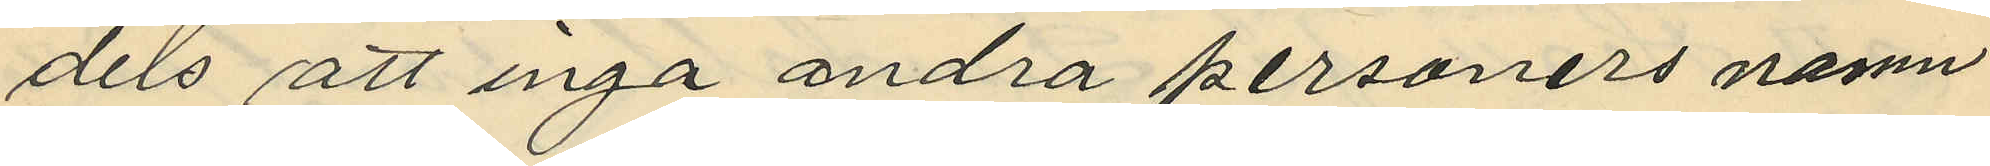dels att inga andra personers namn¬
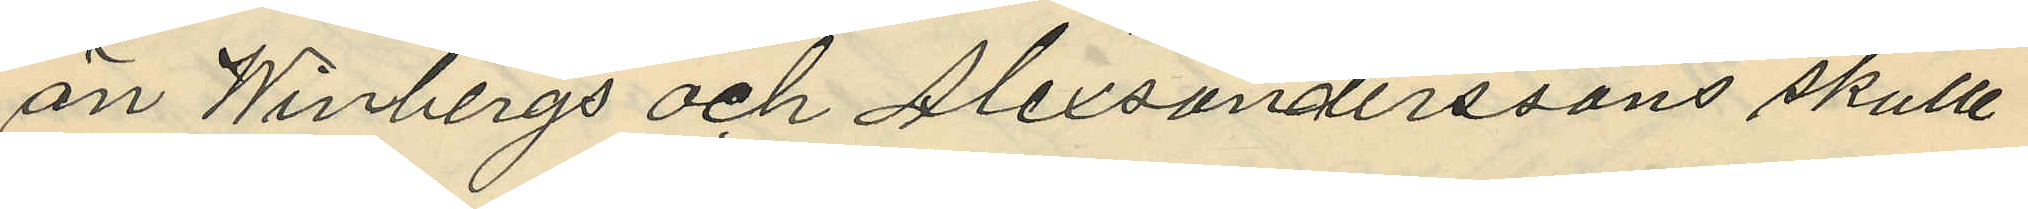än Winbergs och Alexsanderssons skulle
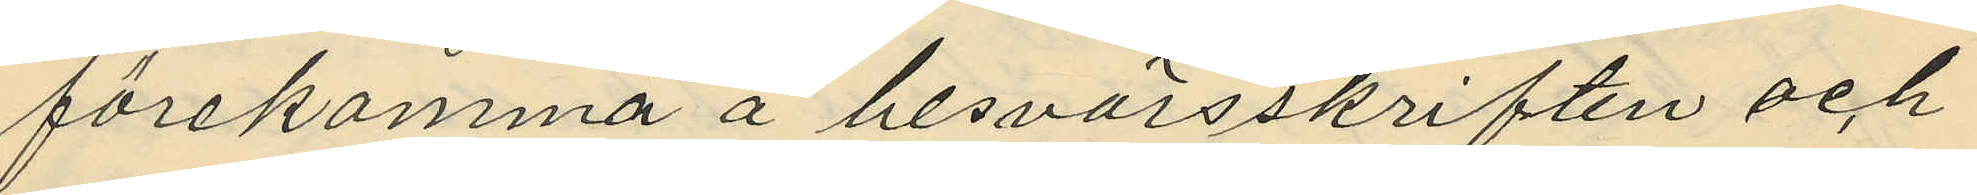förekomma å besvärsskriften och
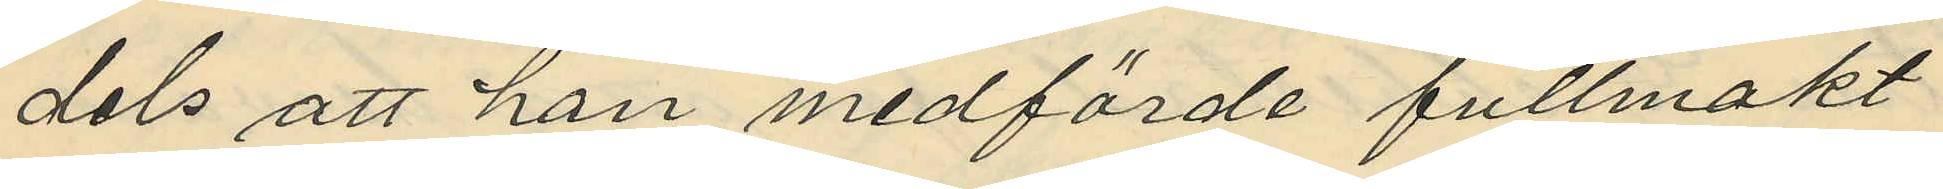dels att han medförde fullmakt
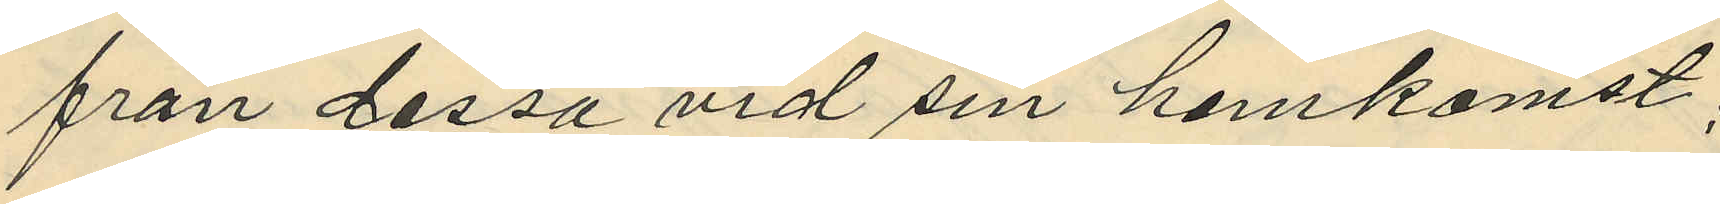från dessa vid sin hemkomst;
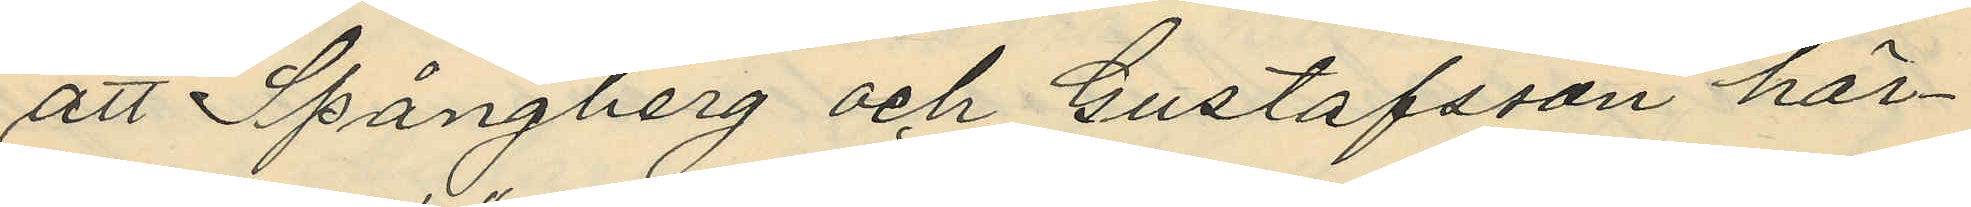att Spångberg och Gustafsson här¬
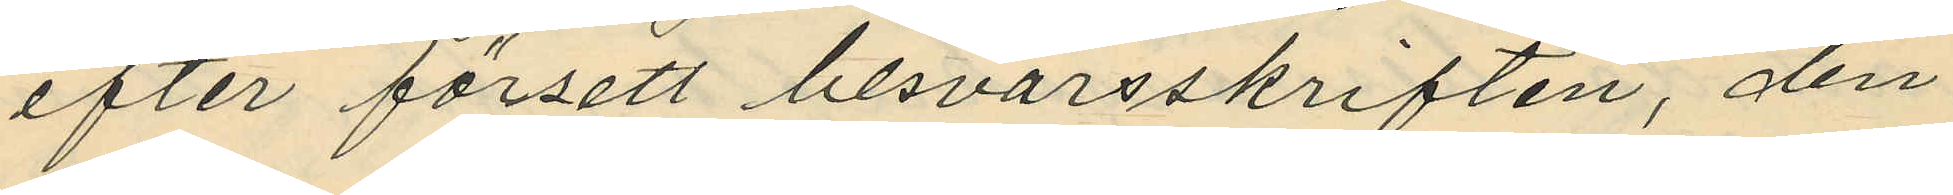efter försett besvärsskriften, den
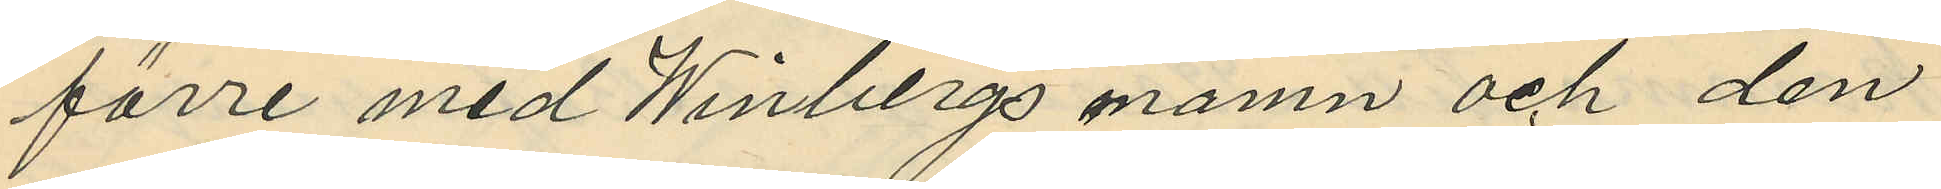förre med Winbergs mamn och den
